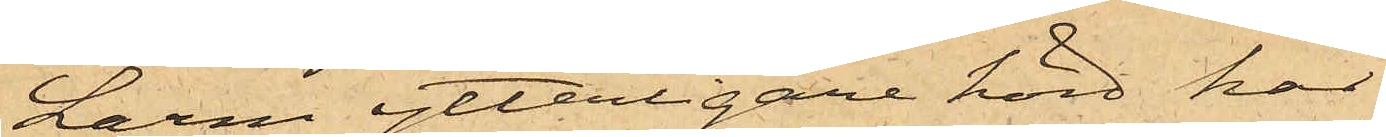Larm ytterligare hörd, har
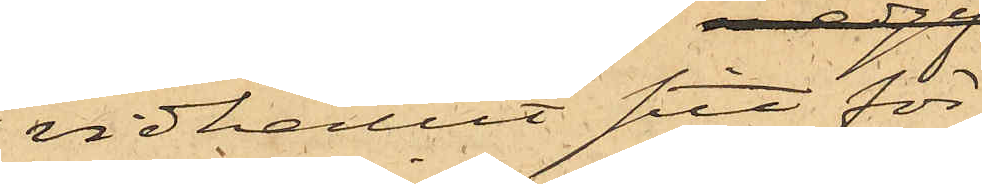vidhållit sitt för¬
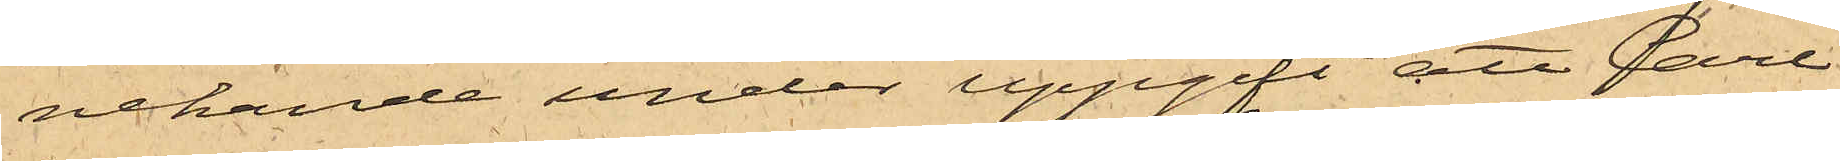nekande under uppgift att Carl
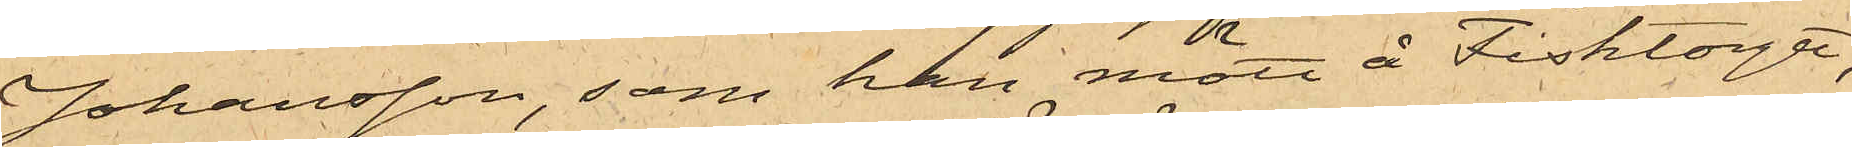Johansson, som han mött å Fisktorget,
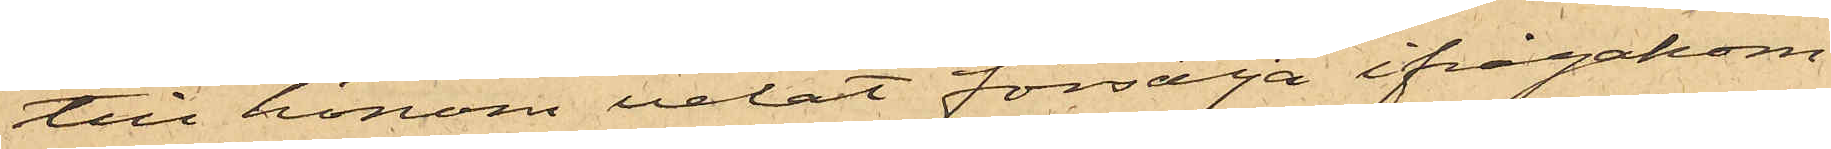till honom velat försälja ifrågakom¬
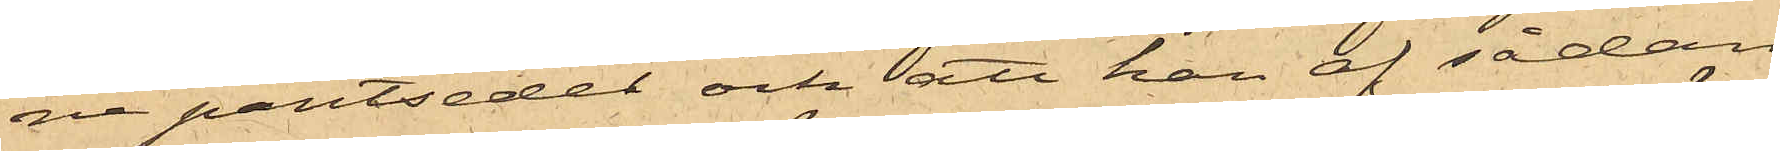ne pantsedel och att han af sådan
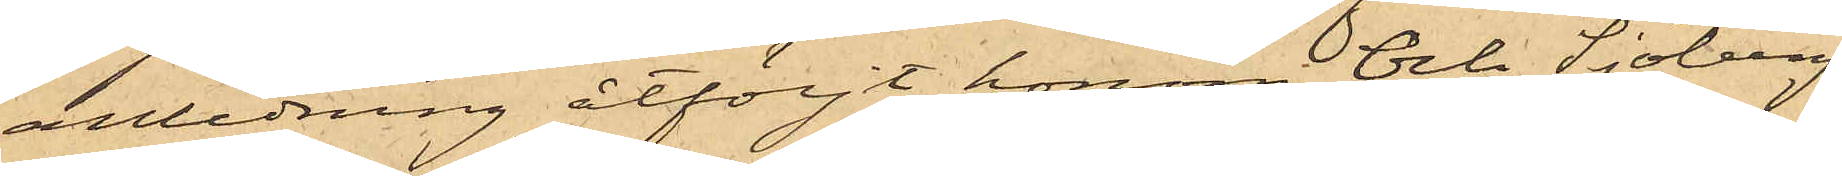anledning åtföljt honom och Sjöberg
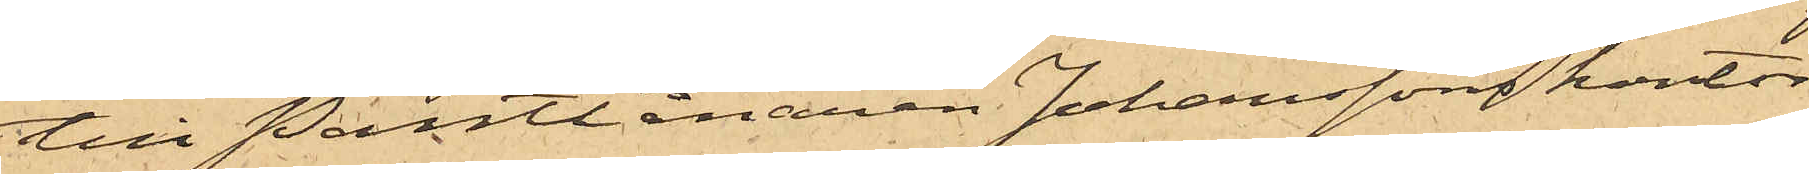till Pantlånaren Johanssons kontor
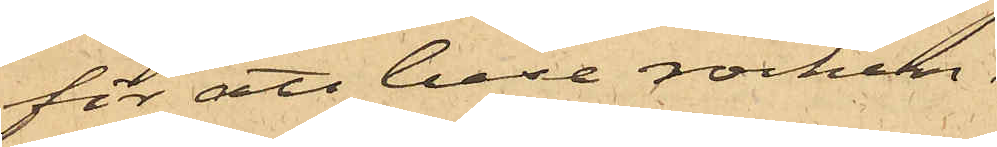för att bese rocken.
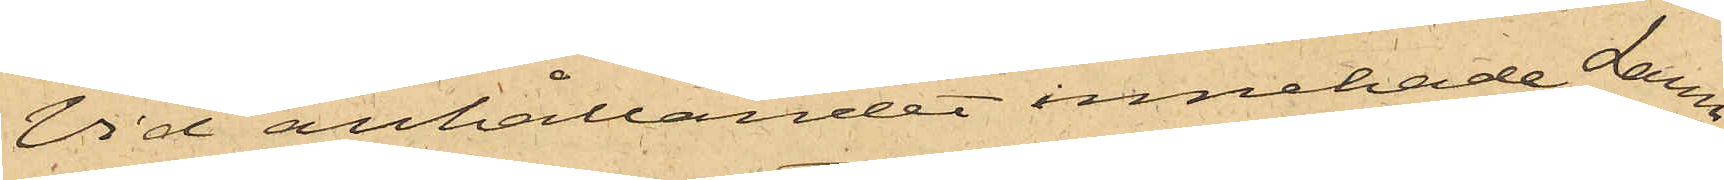Vid anhållandet innehade Larm
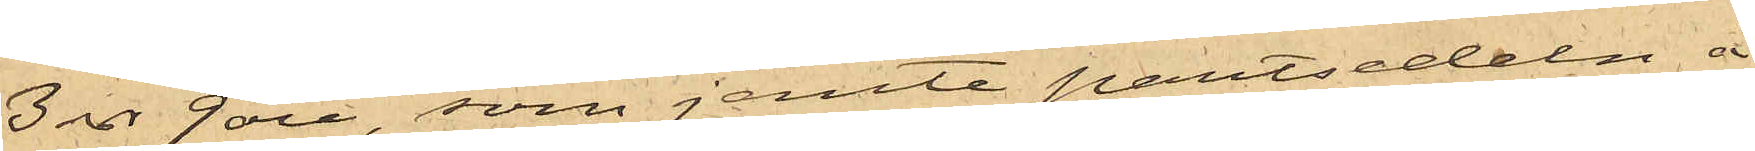3 rdr 9 öre, som jemte pantsedeln å
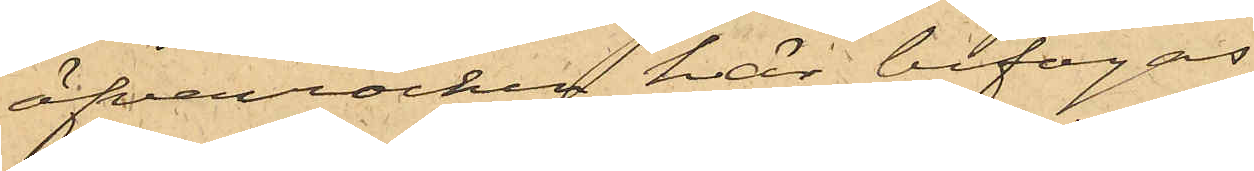öfverrocken här bifogas
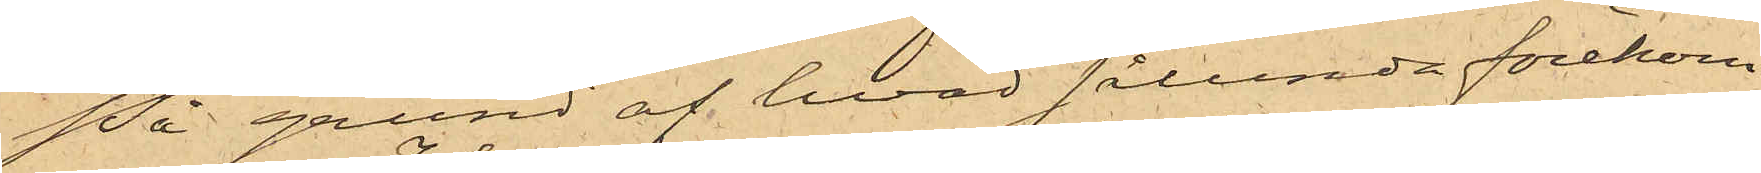På grund af hvad sålunda förekom¬
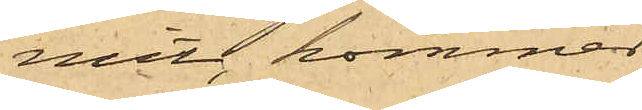mit, kommer
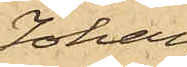Johan
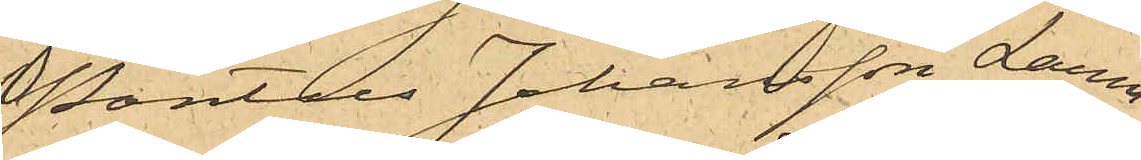Pontus Johansson Larm
